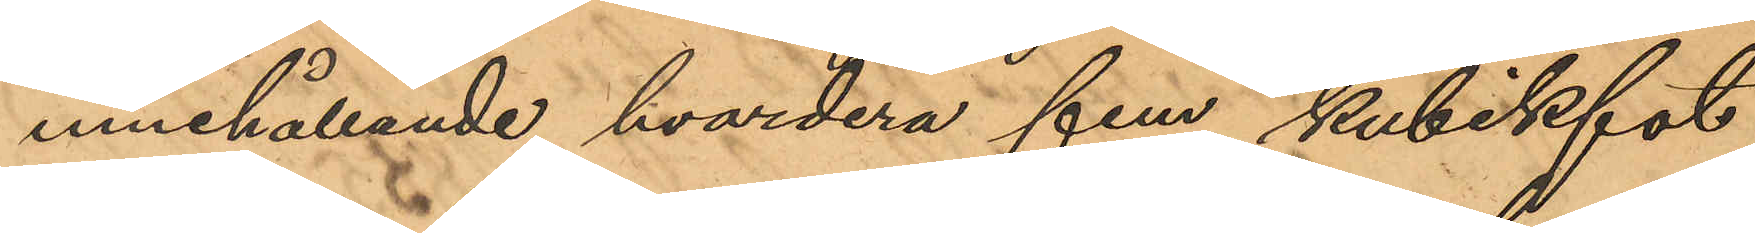innehållande hvardera fem kubikfot
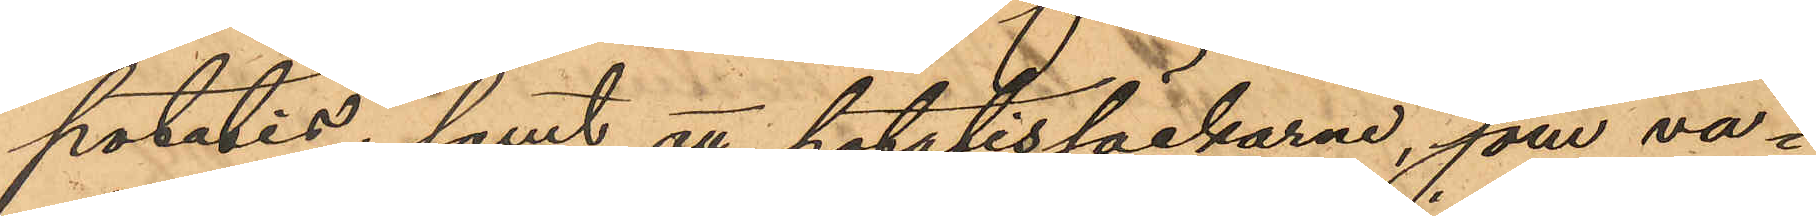potatis; samt att potatissäckarne, som va¬
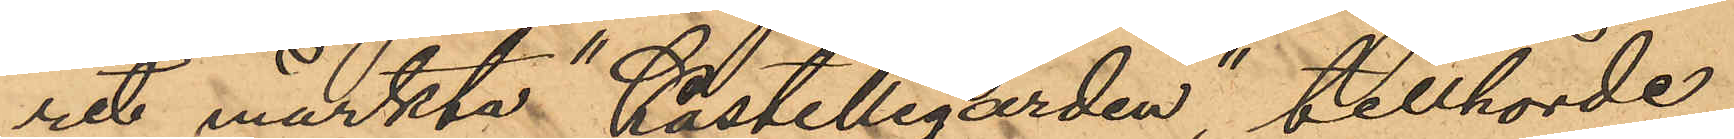rit märkta "Kastellegården", tillhörde
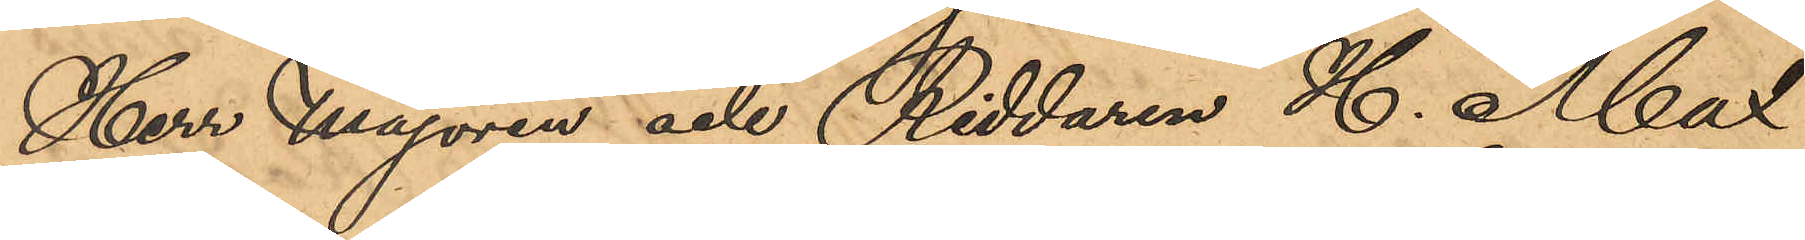Herr Majoren och Riddaren H. Max
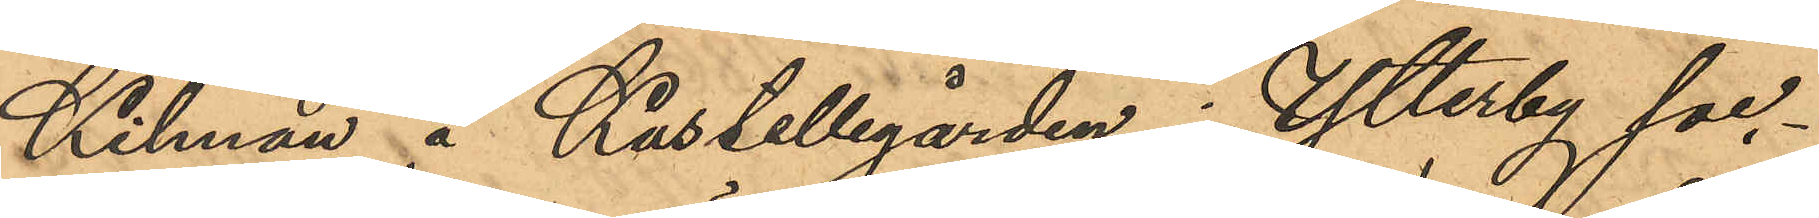Kilman å Kastellegården i Ytterby soc¬
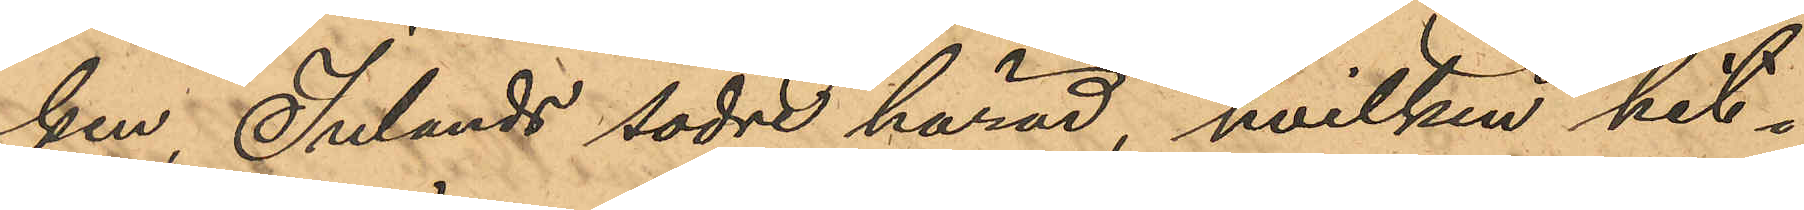ken, Inlands södre härad, hvilken hit¬
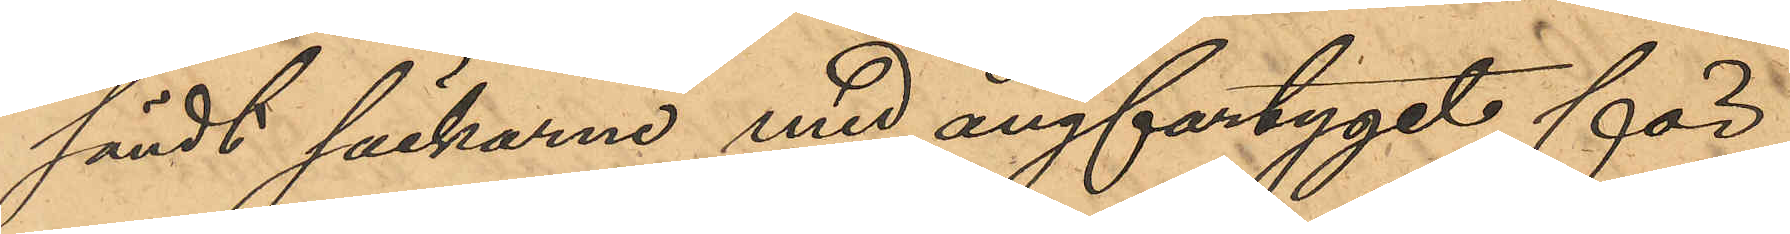sändt säckarne med ångfartyget för
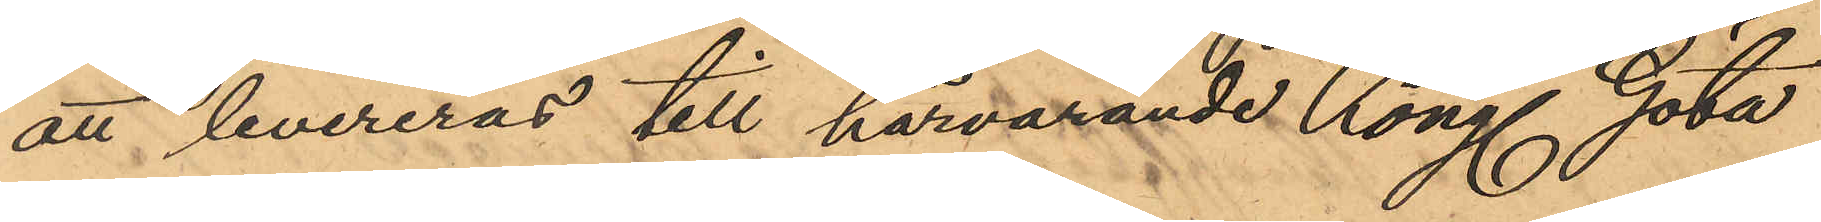att levereras till härvarande Kong Göta
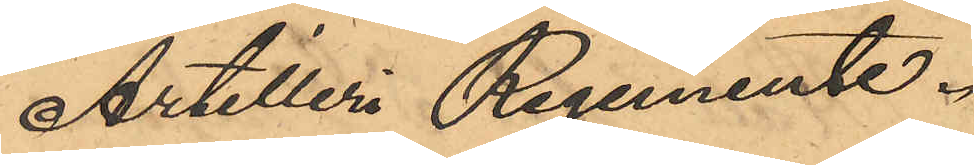Artilleri Regemente.
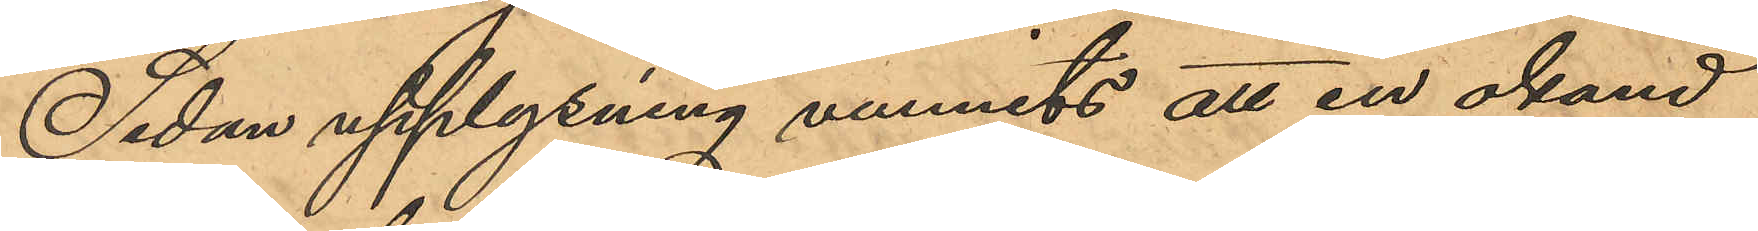Sedan upplysning vunnits att en okänd
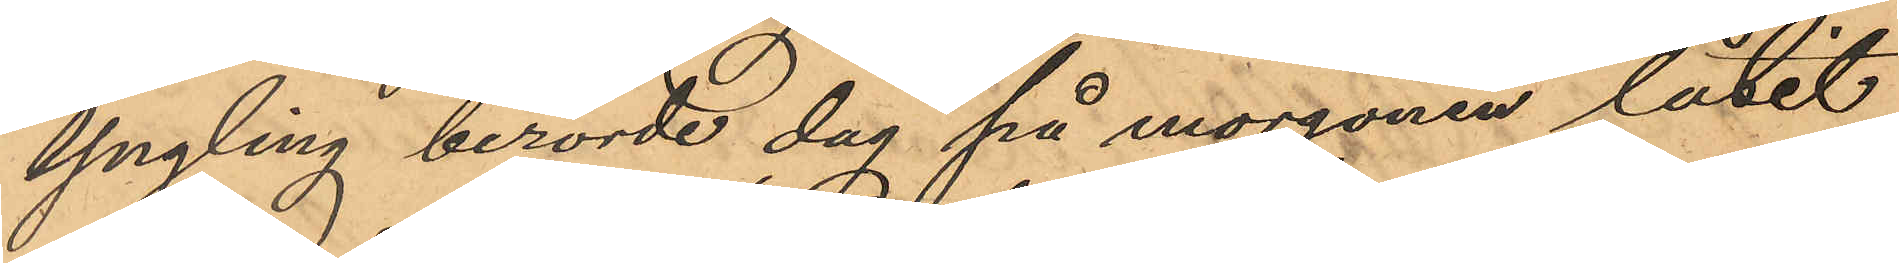Yngling berörde dag på morgonen låtit
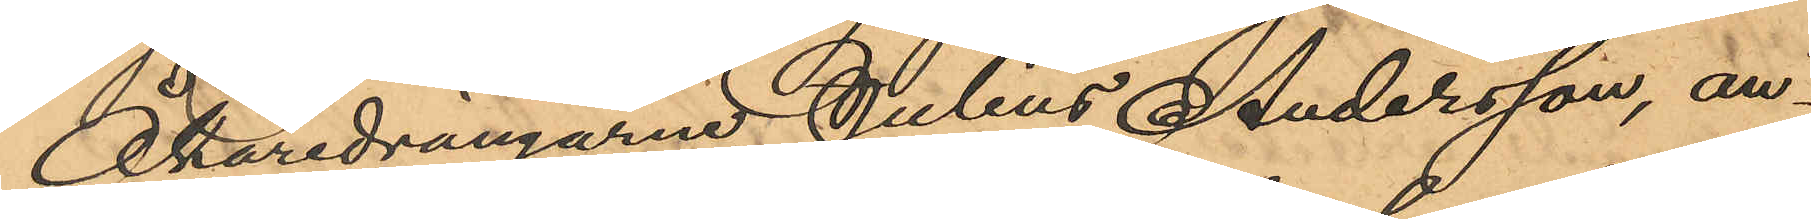Åkaredrängarne Julius Andersson, an¬
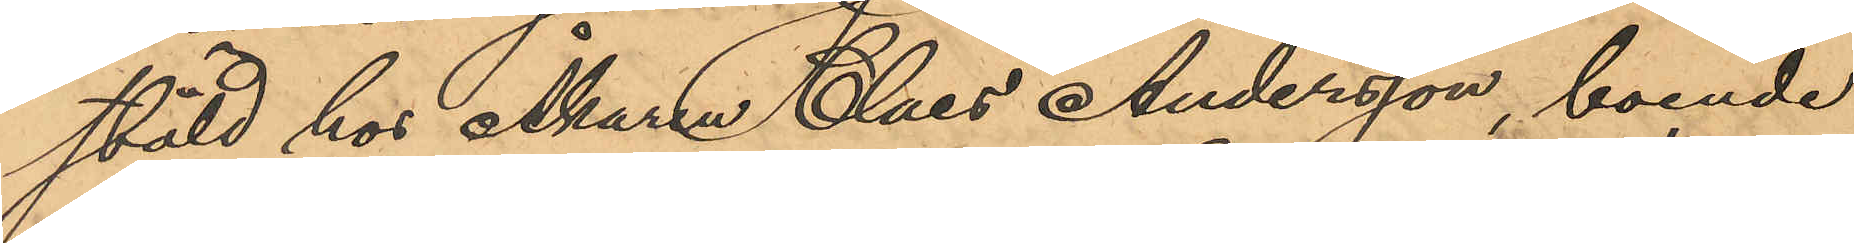stäld hos Åkaren Claes Andersson, boende
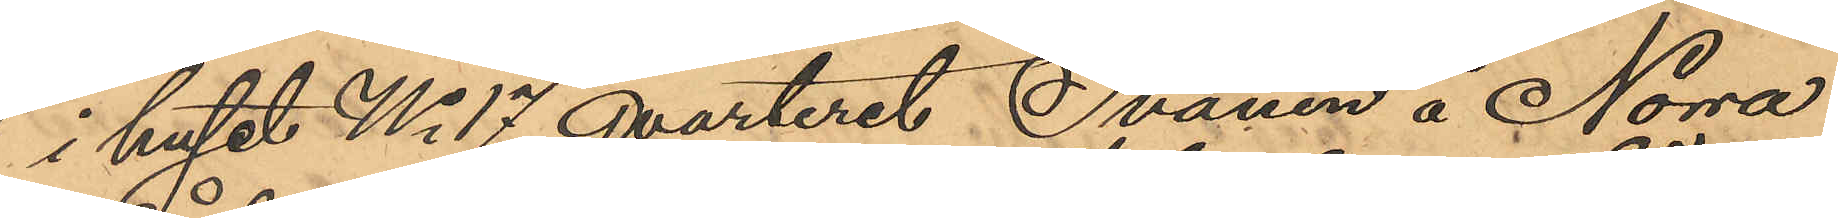i huset No 17 Qvarteret Svanen å Norra
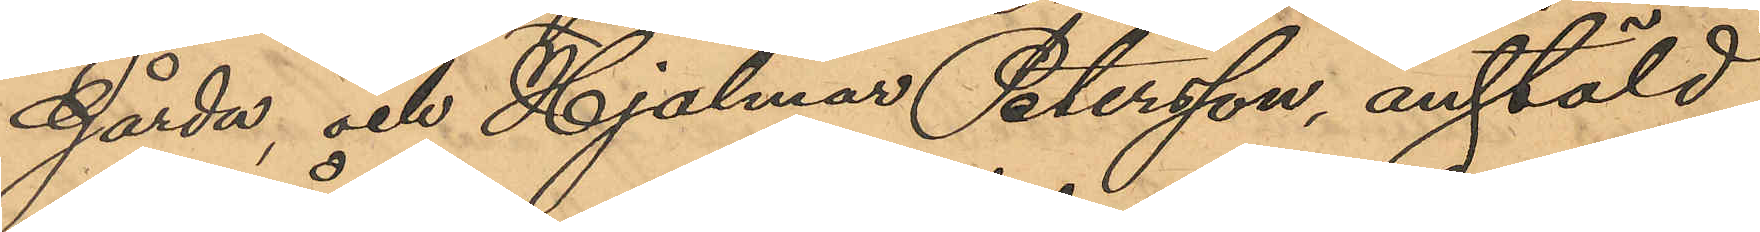Gårda, och Hjalmar Petersson, anstäld
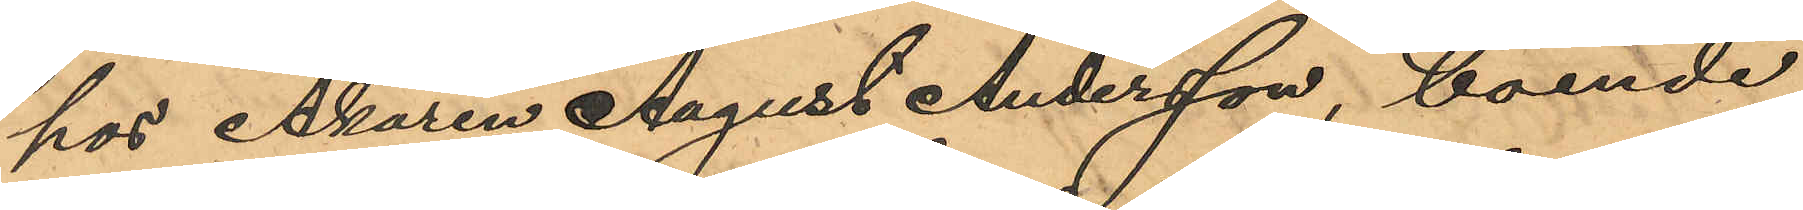hos Åkaren August Andersson, boende
